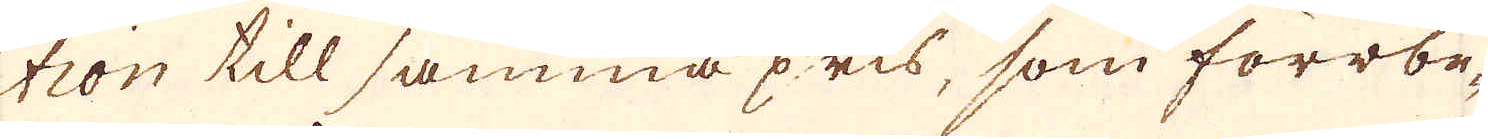tion till samma pris, som förrbe-
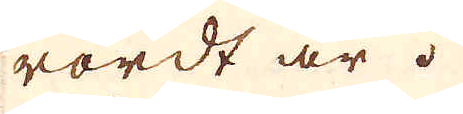rördt är.
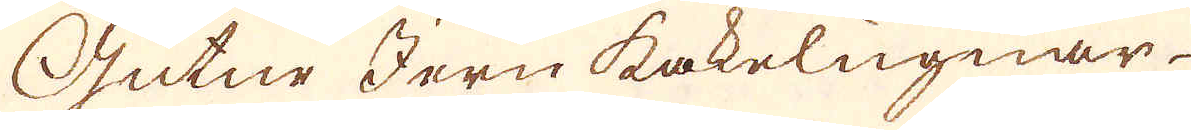Gutne Jern kakelugnar.
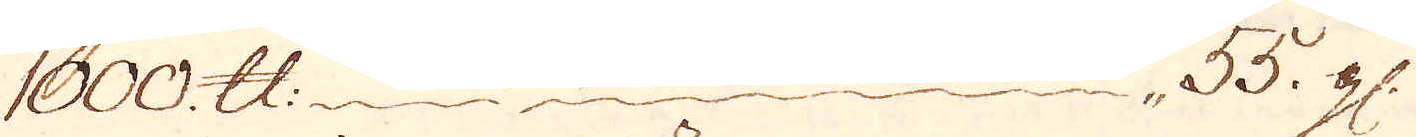1000. skålpund 55 gl:
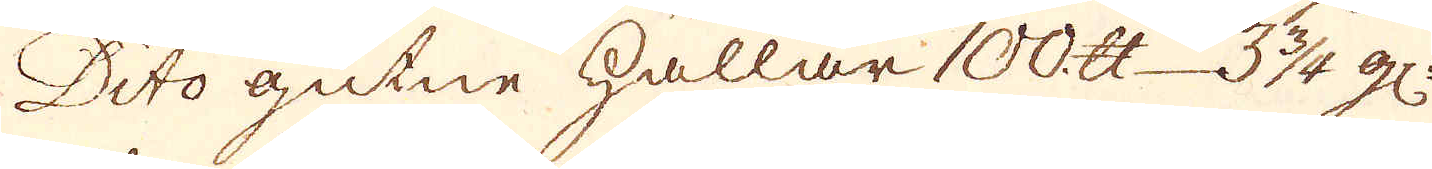Dito gutne hållar 100 skålpund 3 3/4 gl:
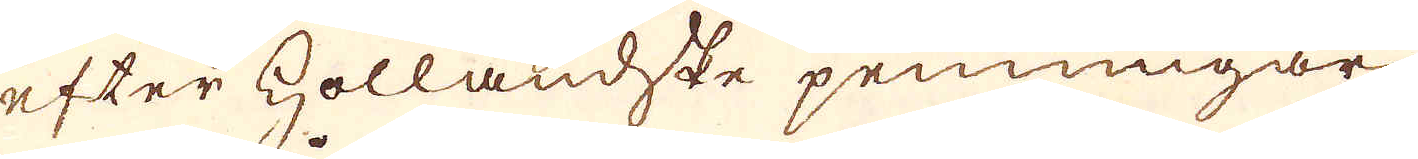efter Holländske penningar
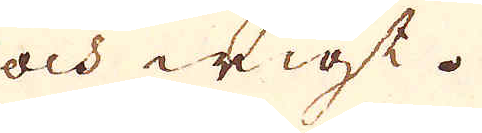och wigt.
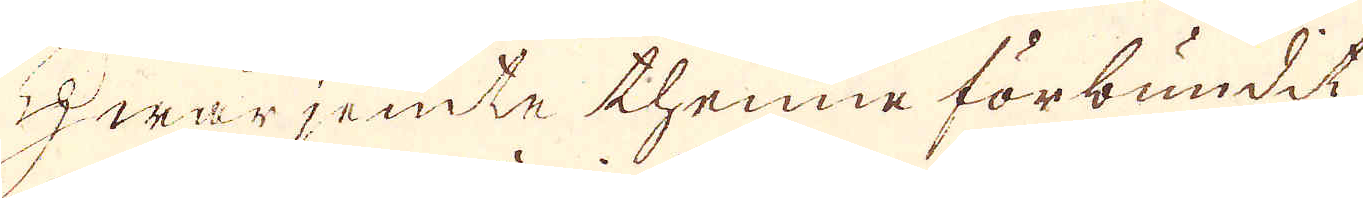Hwarjemte thenne förbundit
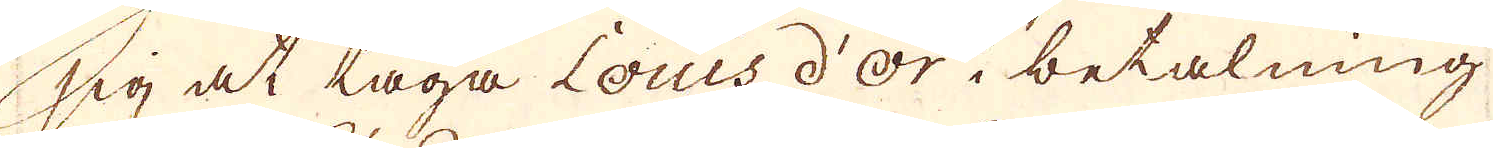sig at taga Louis d'or i betalning
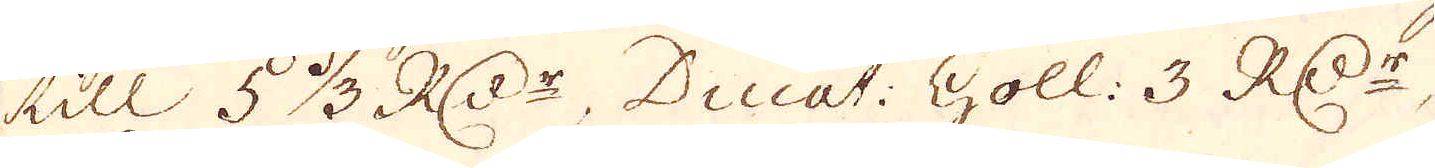till 5 1/3 R:Dr, Ducat: Holl: 3. RD:r,
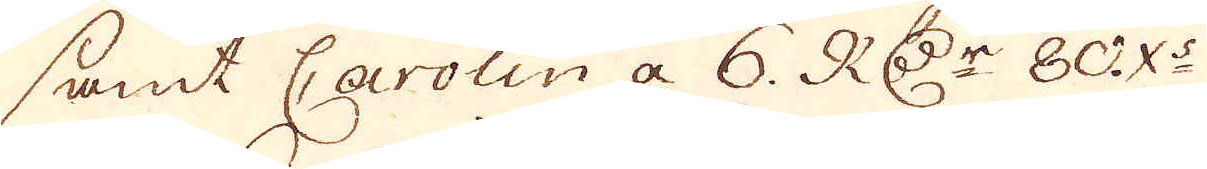samt Carolin a 6. RD:r 80 X:s
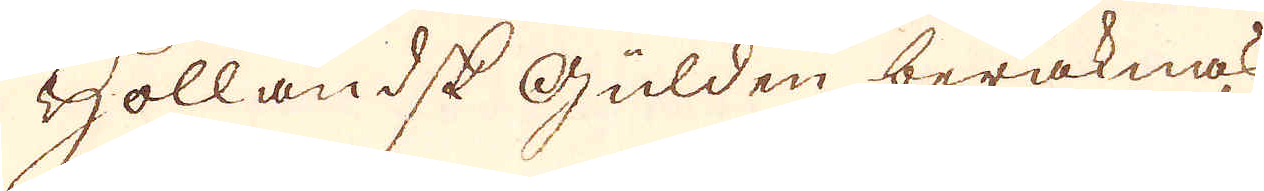Holländsk gulden beräknas
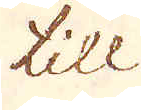till
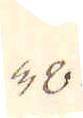38.
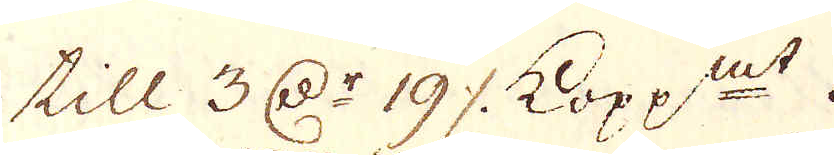till 3 D:r 19 öre kopp:mt.
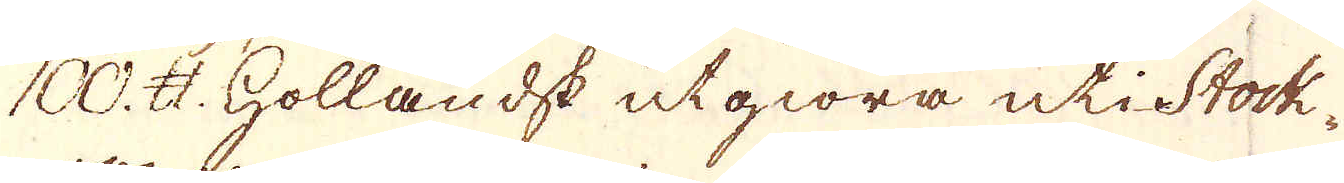100. skålpund Holländsk utgiöra uti Stock-
